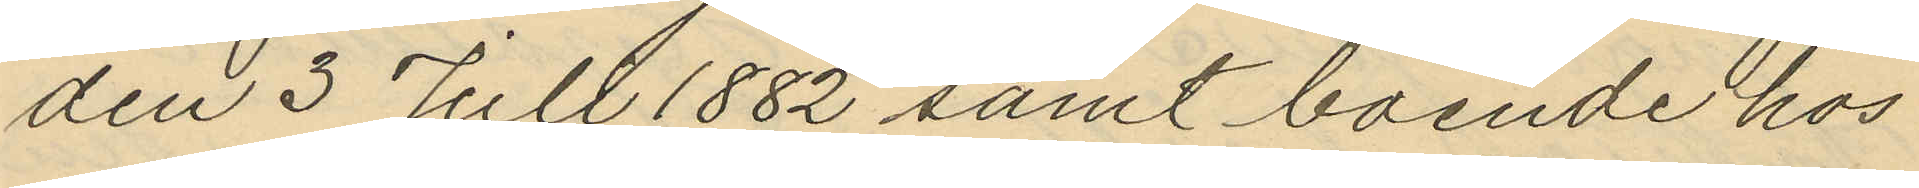den 3 Jull 1882 samt boende hos
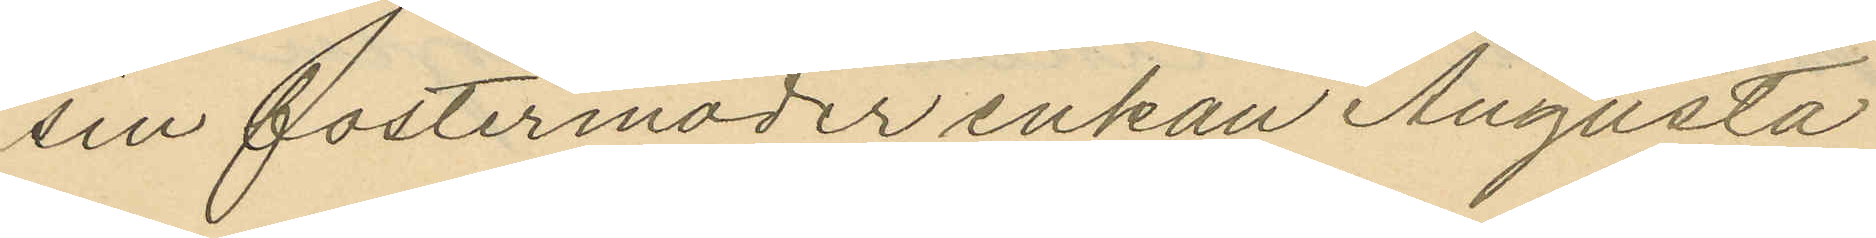sin fostermoder enkan Augusta
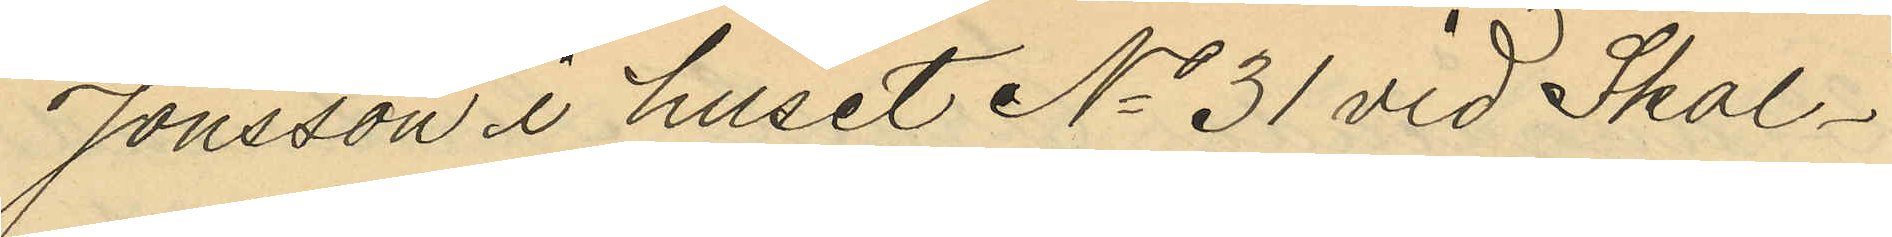Jonsson i huset No 31 vid Skal¬
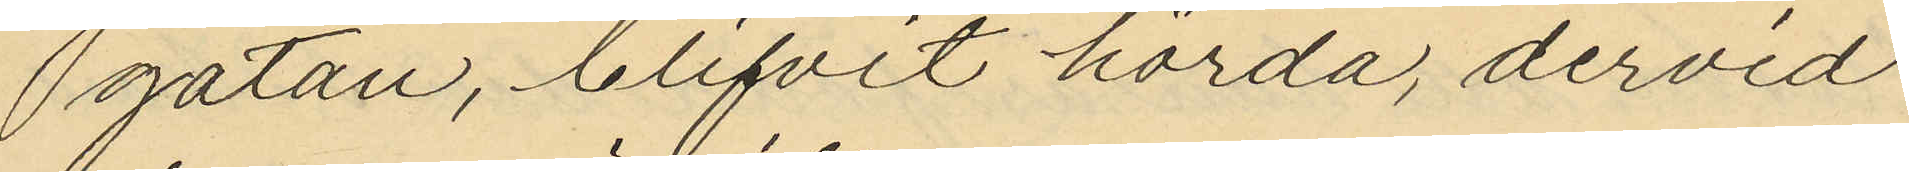gatan, blifvit hörda, dervid
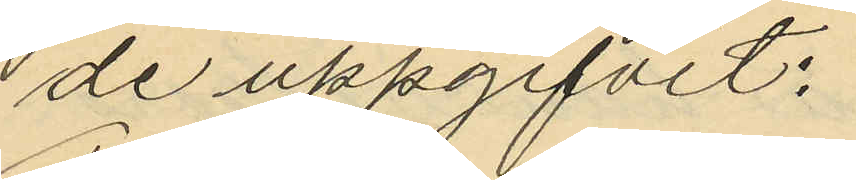de uppgifvit:
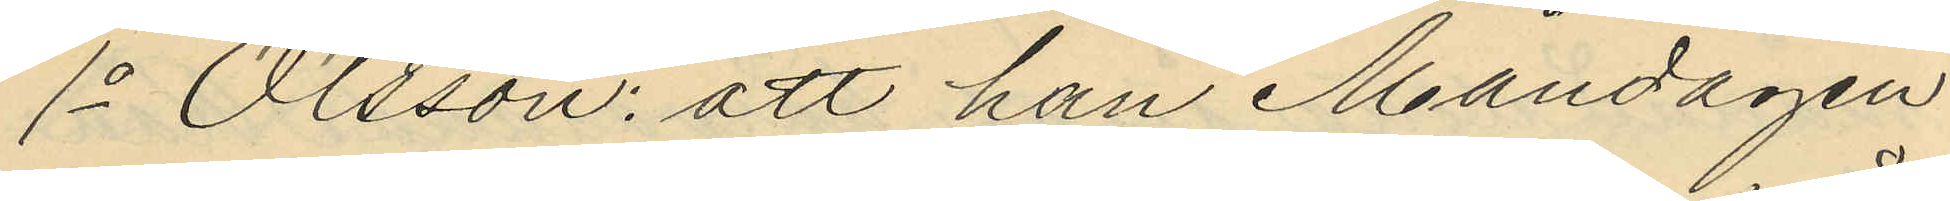1o Olsson: att han Måndagen
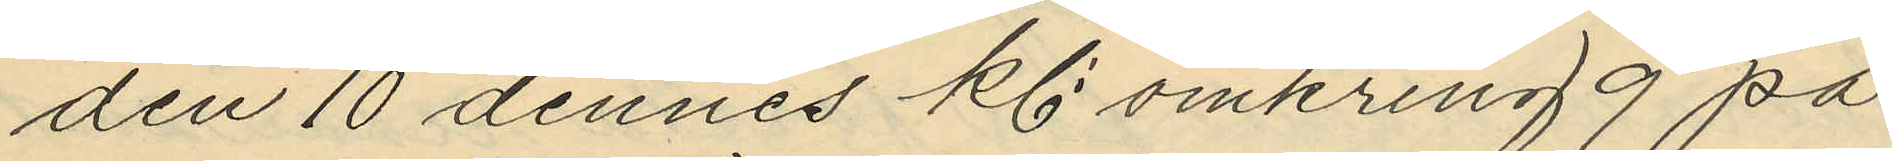den 10 dennes kl: omkring 9 på
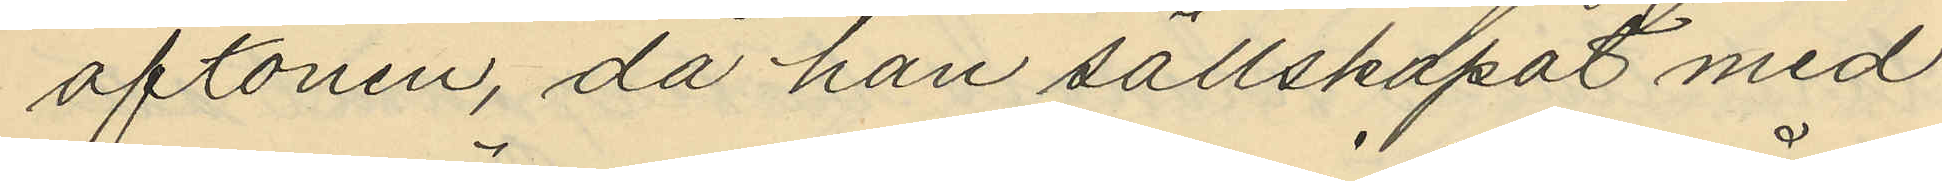aftonen, då han sällskapat med
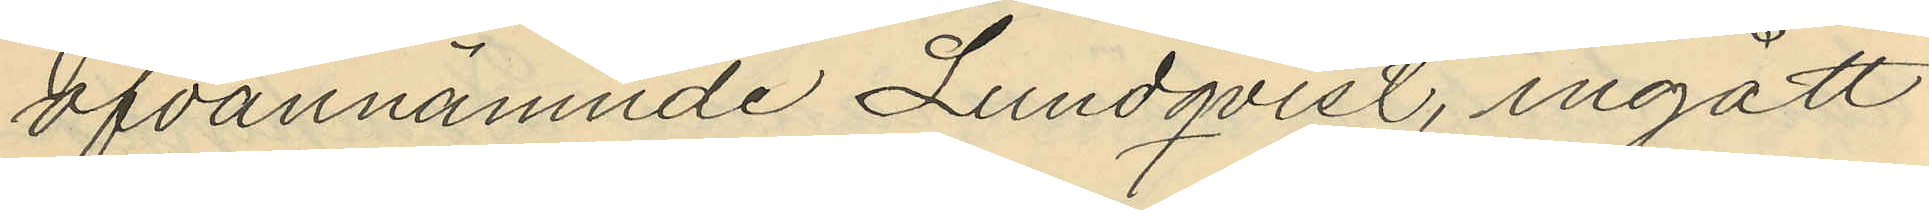ofvannämnde Lundqvist, ingått
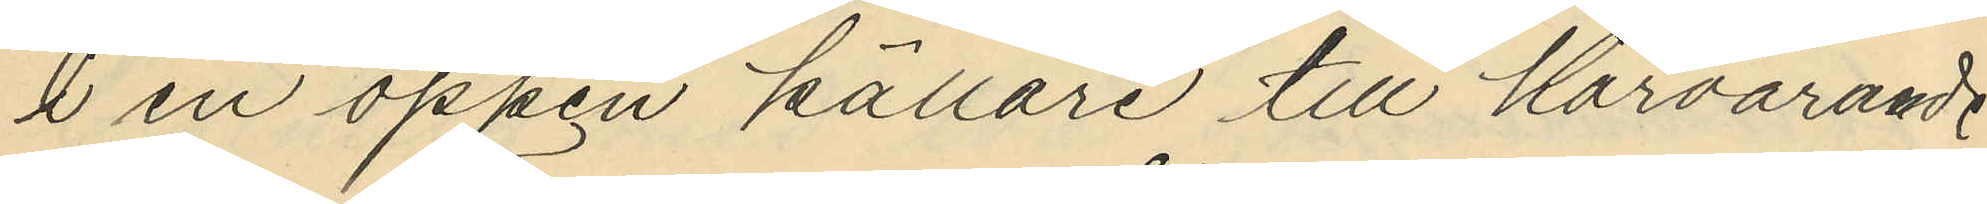i en öppen källare till härvarande
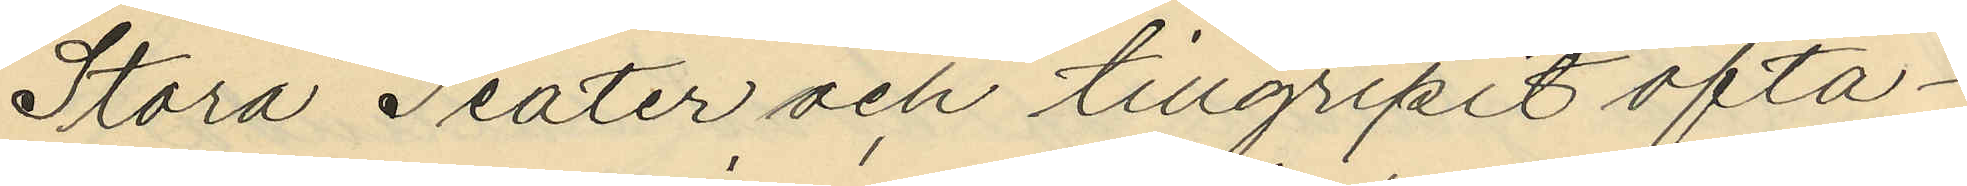Stora Teater och tillgripit ofta¬
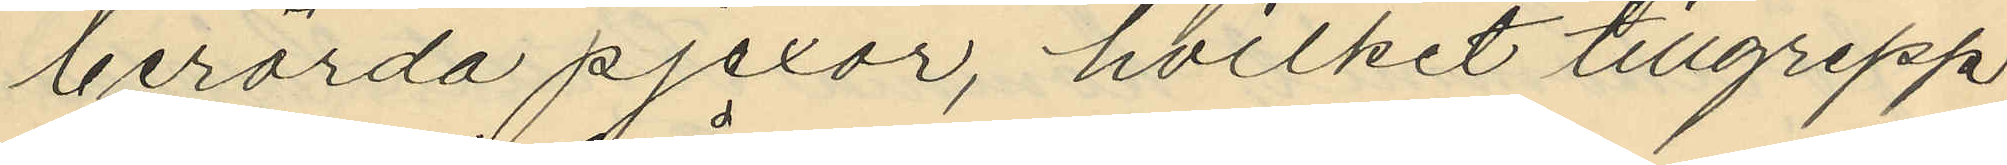berörda pjexor, hvilket tillgrepp
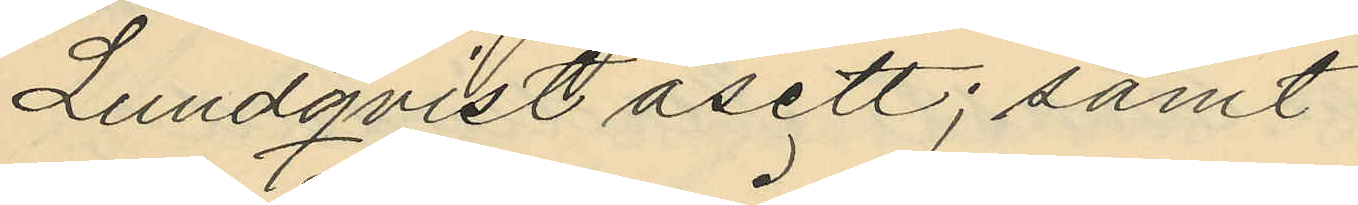Lundqvist åsett; samt
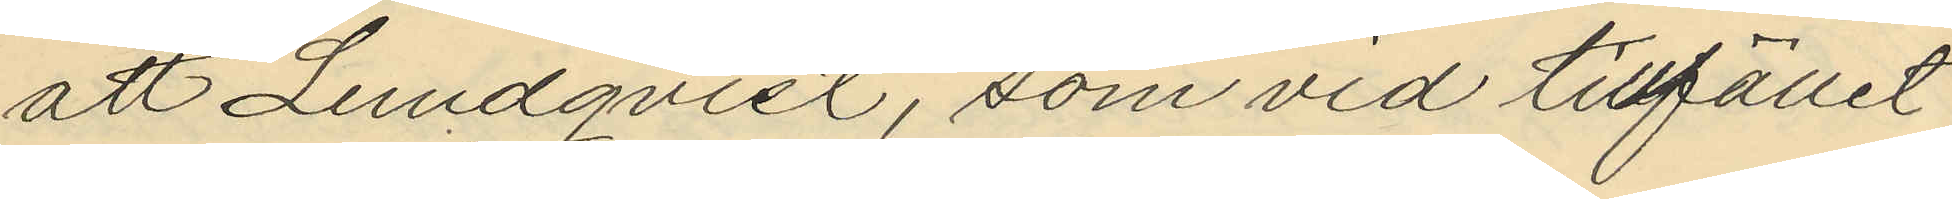att Lundqvist, som vid tillfället
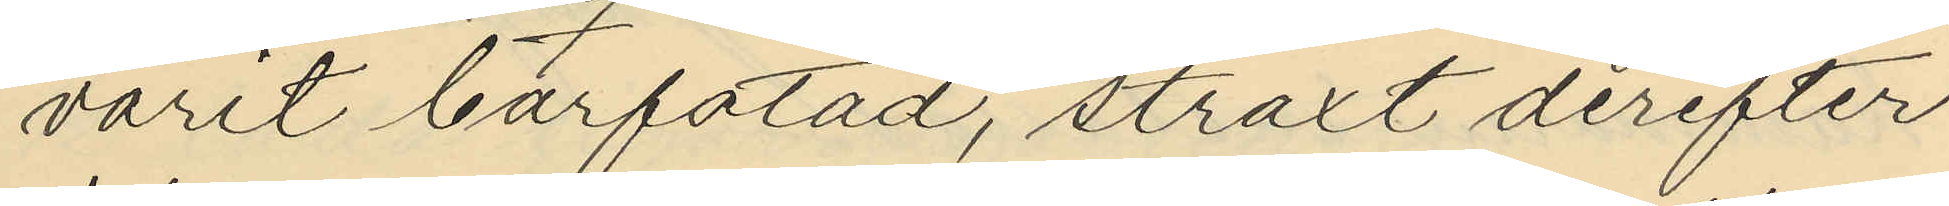varit barfotad, straxt derefter
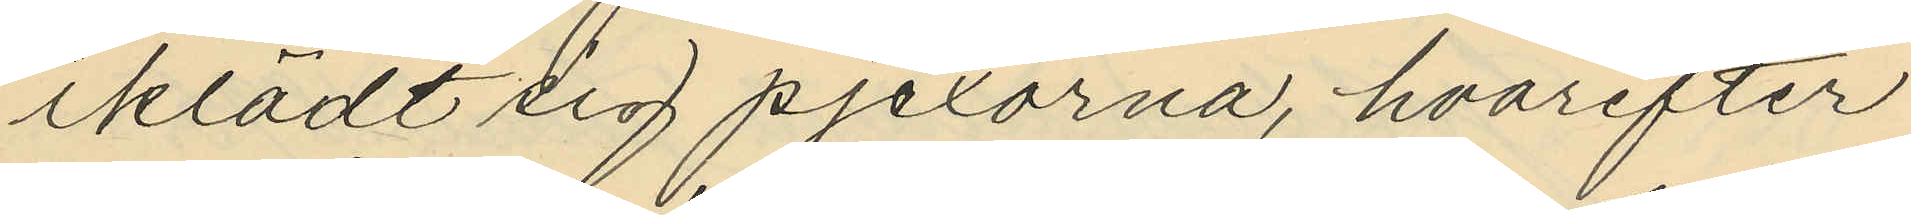iklädt sig pjexorna, hvarefter
